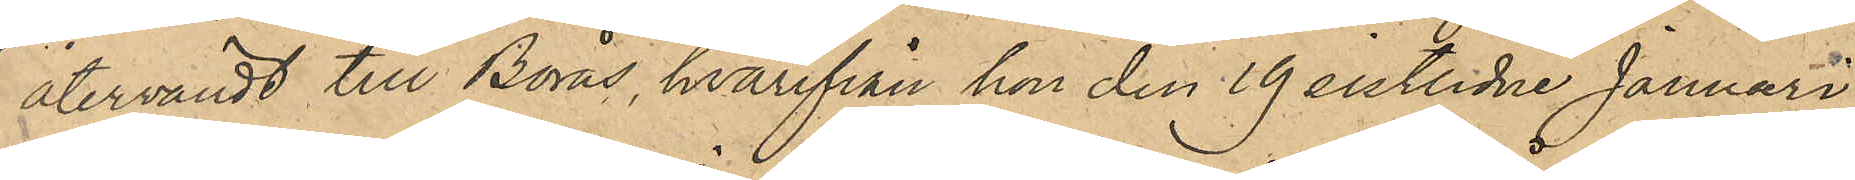återvändt till Borås, hvarifrån hon den 19 sistlidne Januari
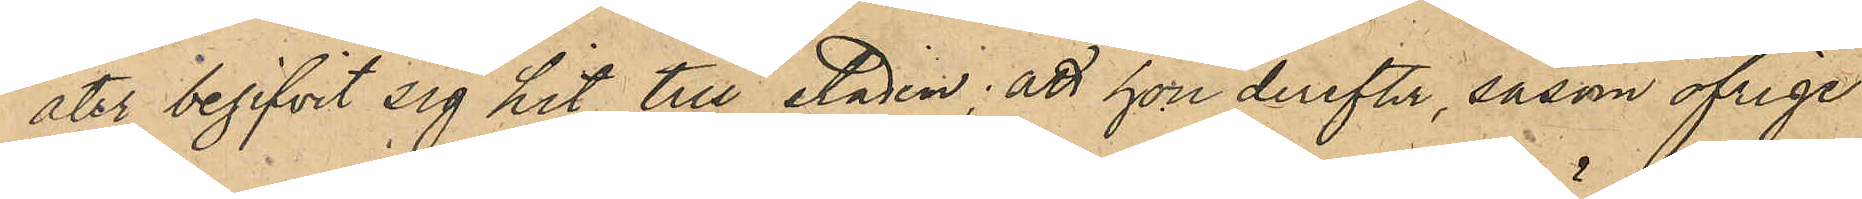åter begifvit sig hit till staden; att hon derefter, såsom öfrige
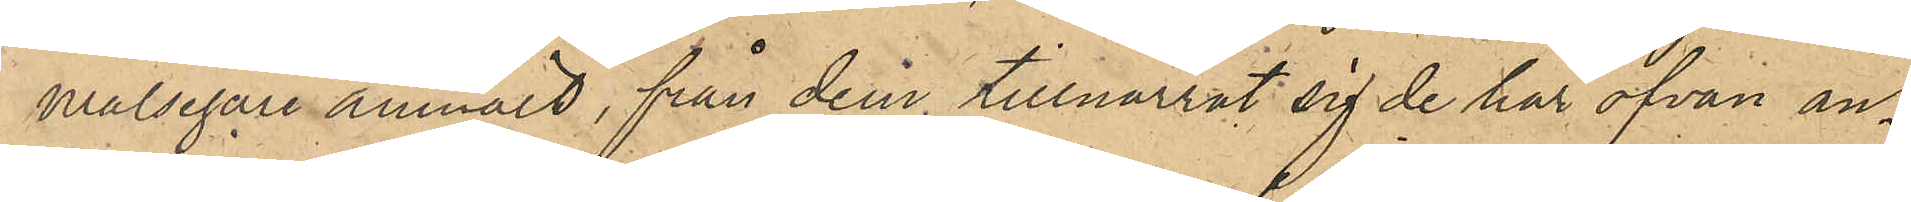målsägare anmält, från dem tillnarrat sig de här ofvan an¬
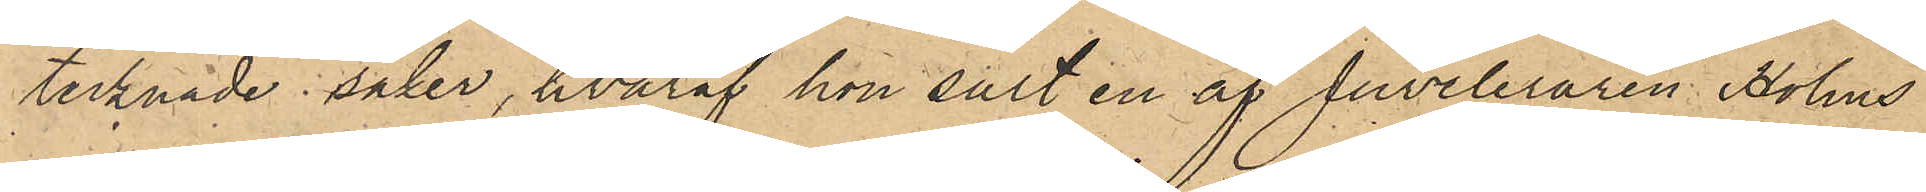tecknade saker, hvaraf hon sålt en av Juveleraren Holms
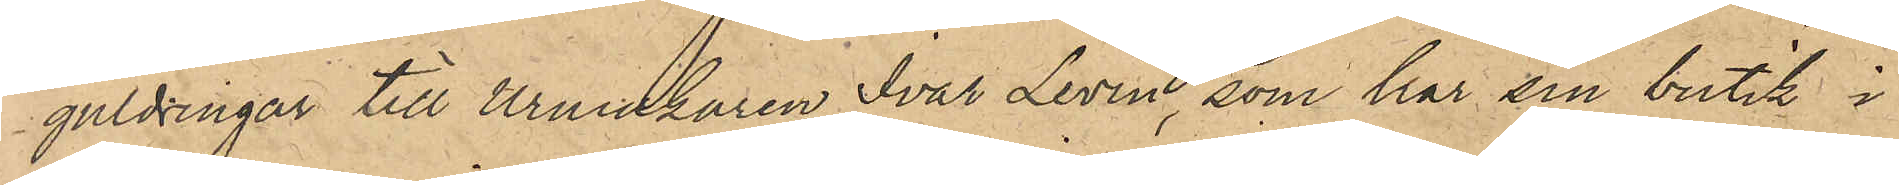guldringar till Urmakaren Ivar Levin, som har sin butik i
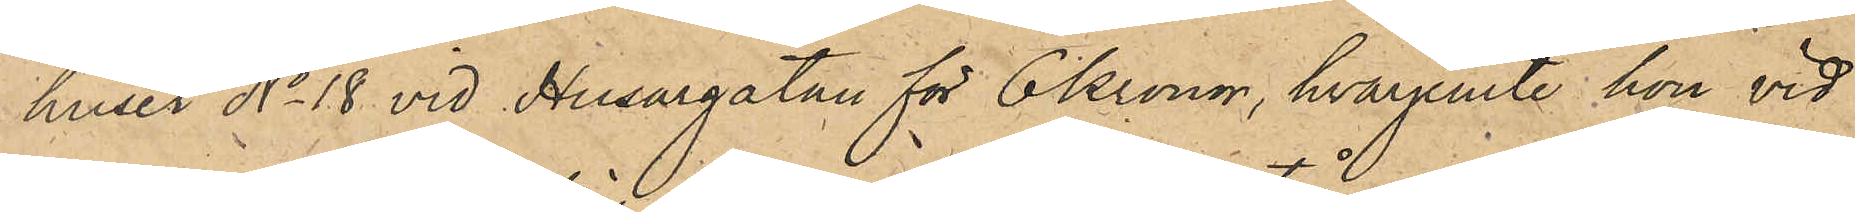huset No 18 vid Husargatan för 6 kronor, hvarjemte hon vid
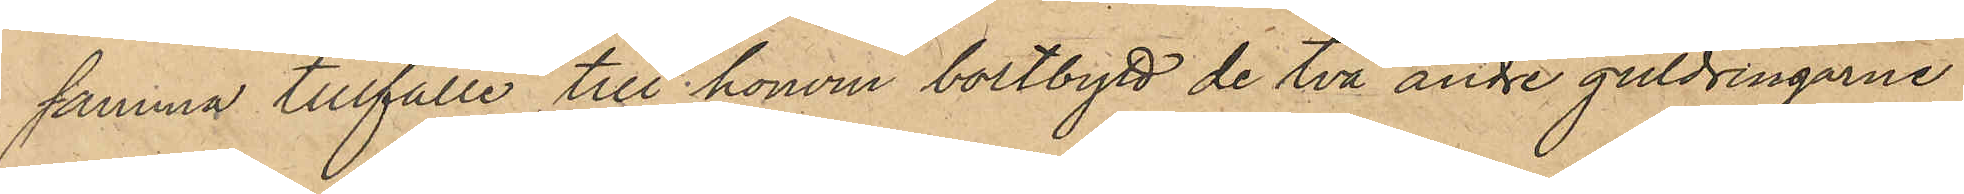samma tillfälle till honom bortbytt de två andre guldringarne
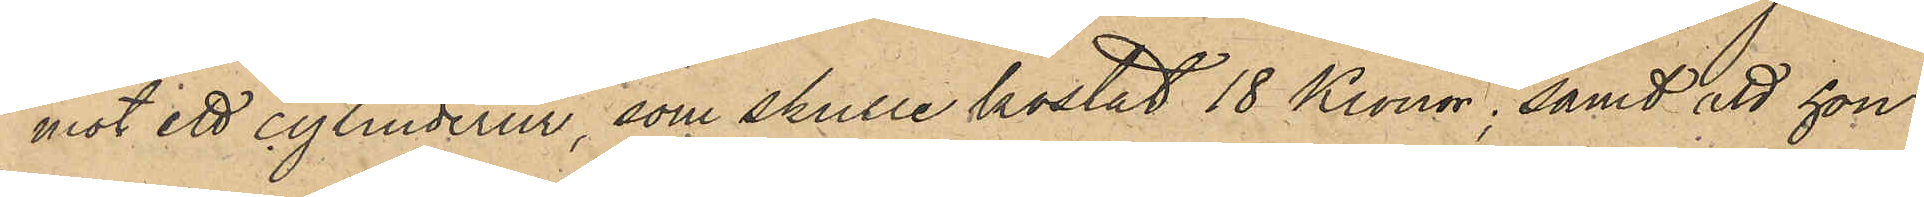mot ett cylinderur, som skulle kostat 18 Kronor, samt att hon
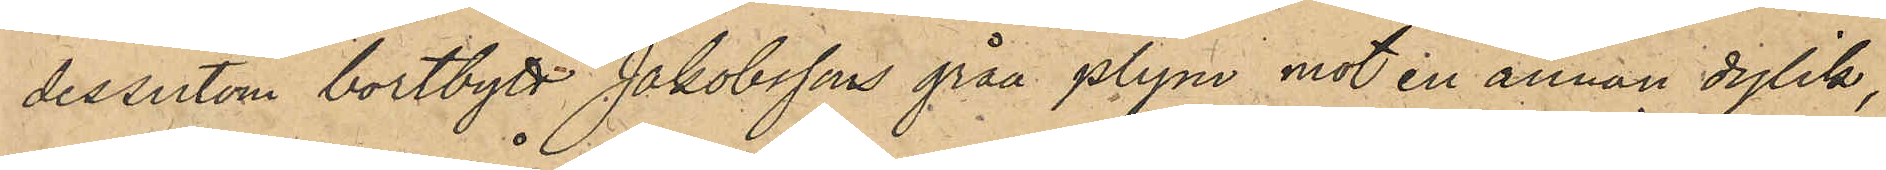dessutom bortbytt Jakobssons gråa plym mot en annan dylik,
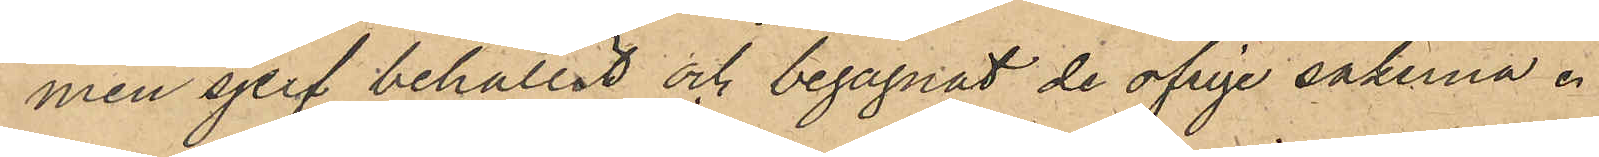men sjelf behållit och begagnat det öfrige sakerna.
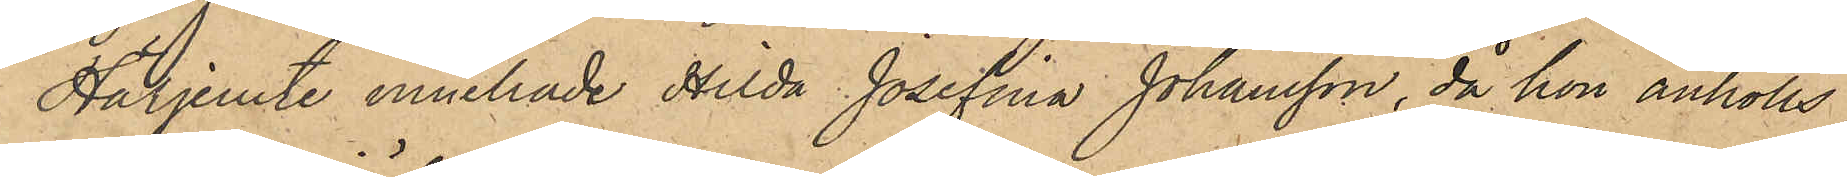Härjemte innehade Hilda Josefina Johansson, då hon anhölls,
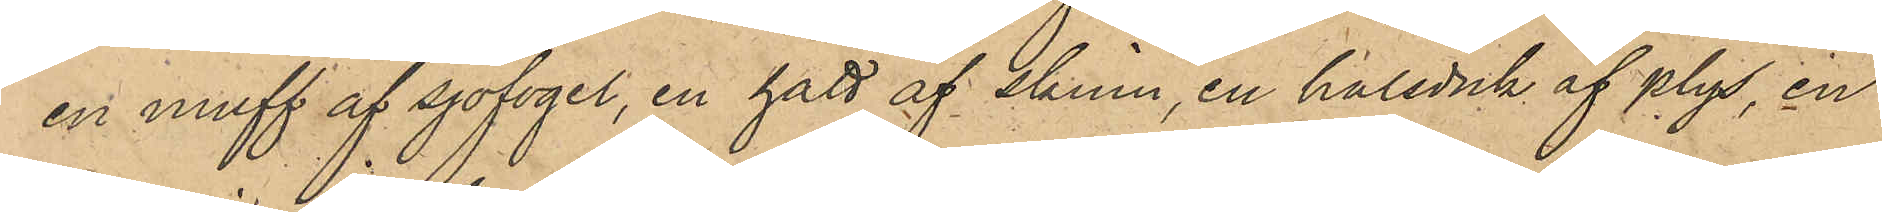en muff af sjöfogel, en hatt af skinn, en halsduk af plys, en
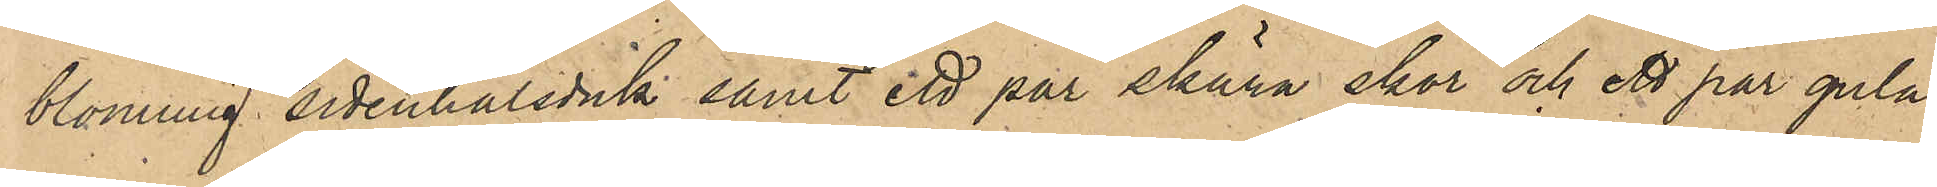blommig sidenhalsduk samt ett par skära skor och ett par gula
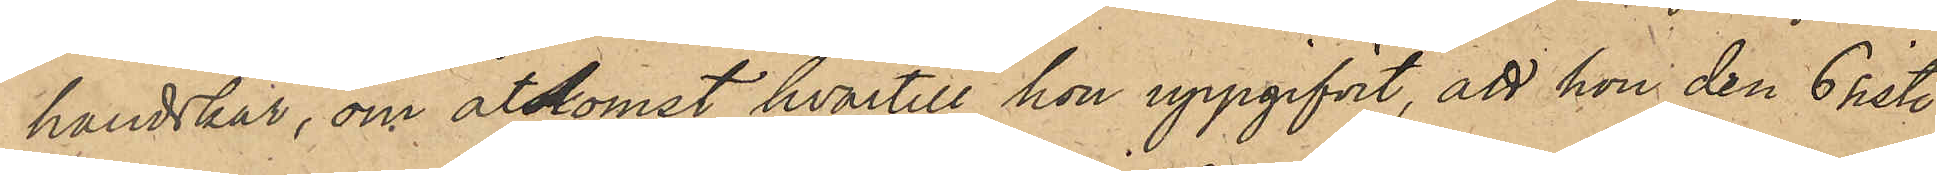handskar, om åtkomst hvartill hon uppgifvit, att hon den 6 sist.
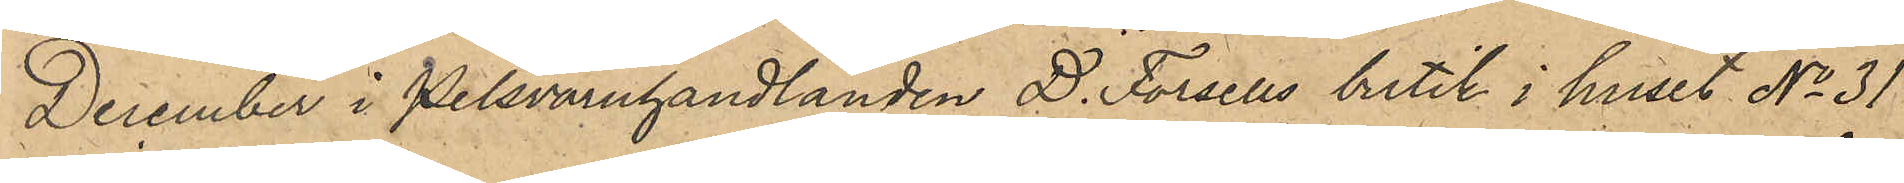December i Pelshandlanden D. Forsells butik i huset No 31
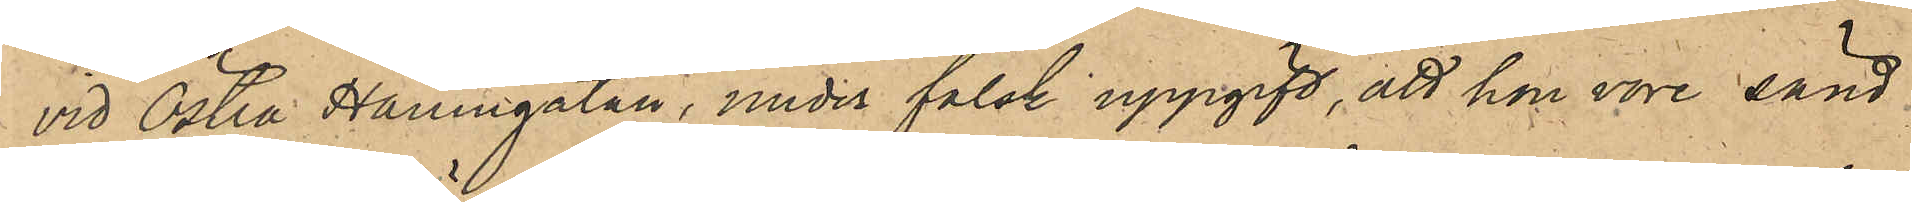vid Östra Hamngatan, under falsk uppgift, att hon vore sänd
